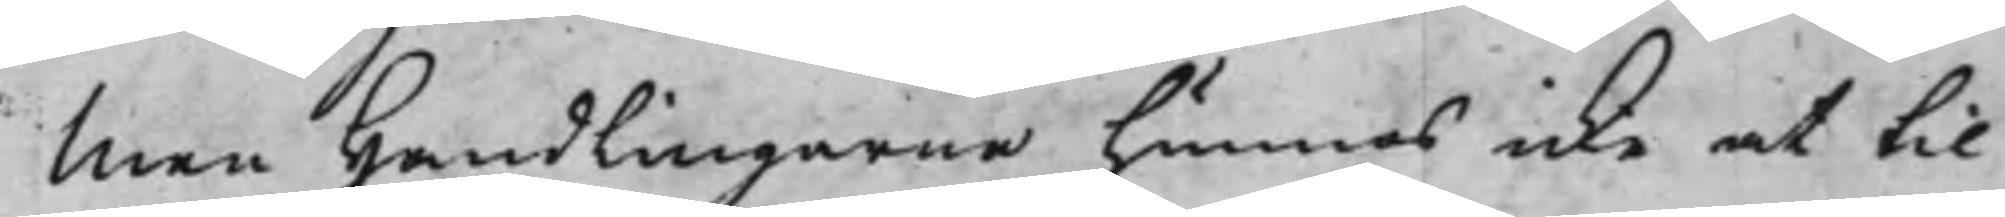Men Handlingarne hunnes icke at til
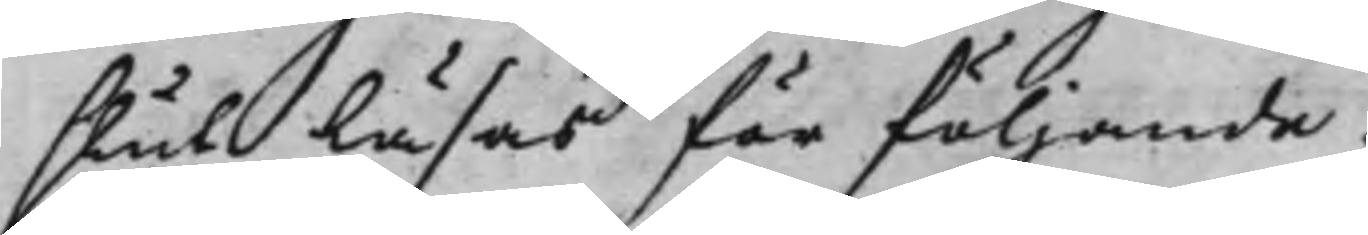slut läsas för följande.
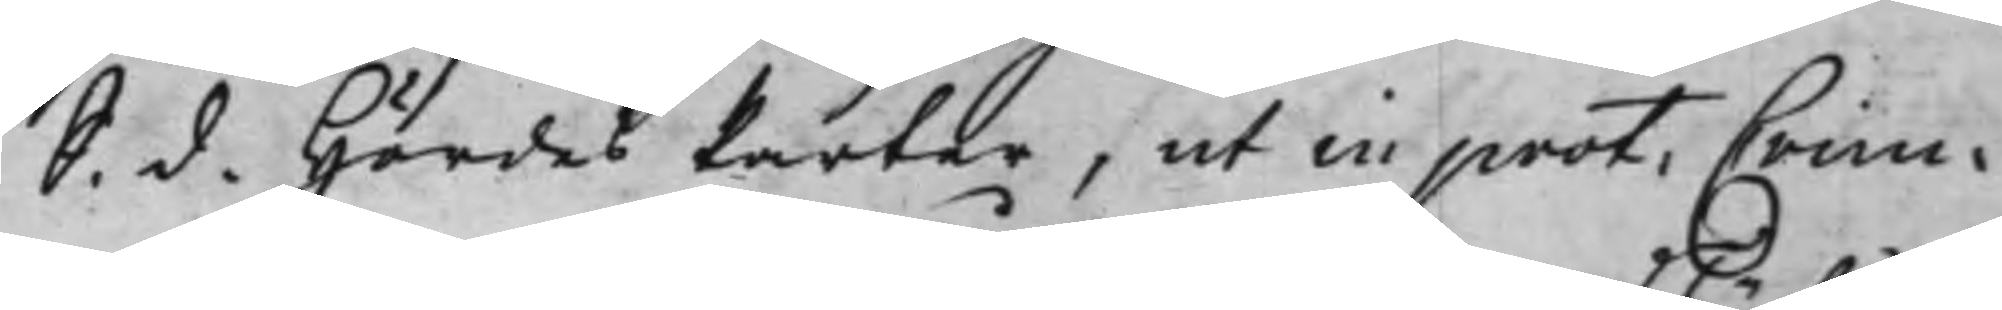S. d. Hördes Parter, ut in prot: Crim:
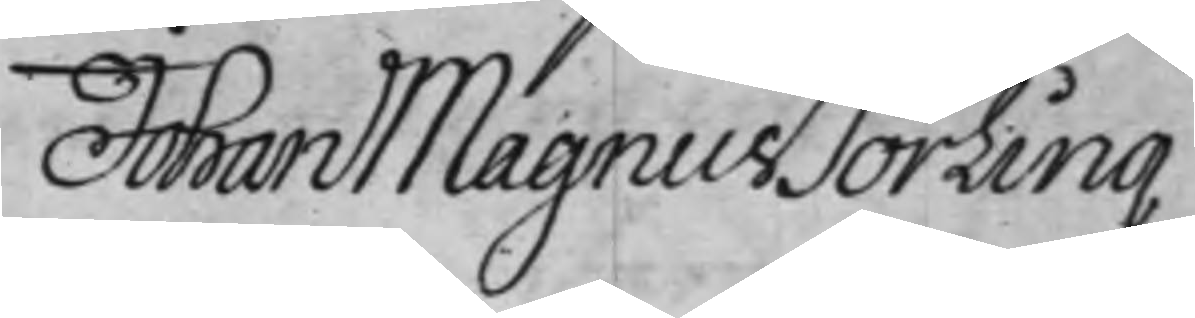Johan Magnus Törling
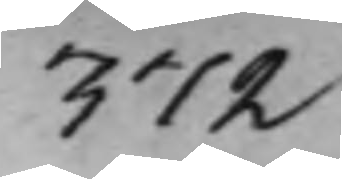372
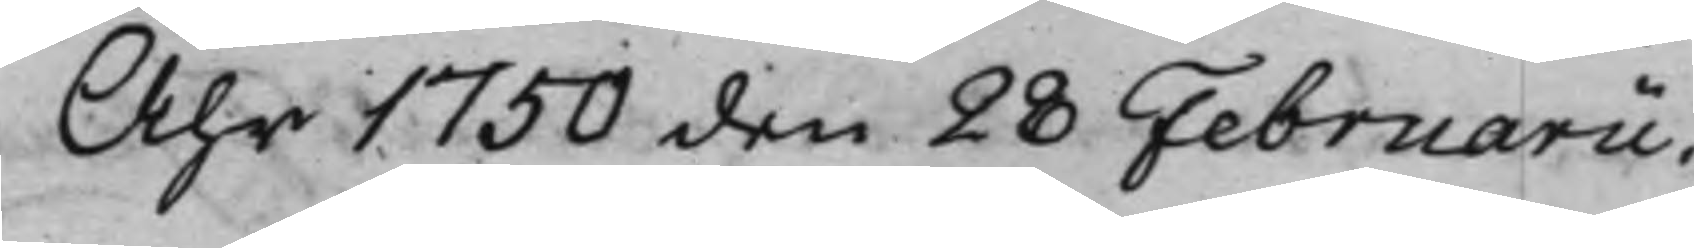Åhr 1750 den 28 Februarii.
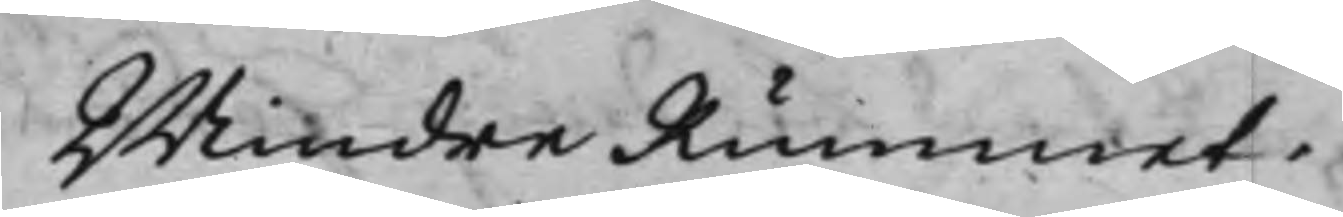Mindre Rummet.
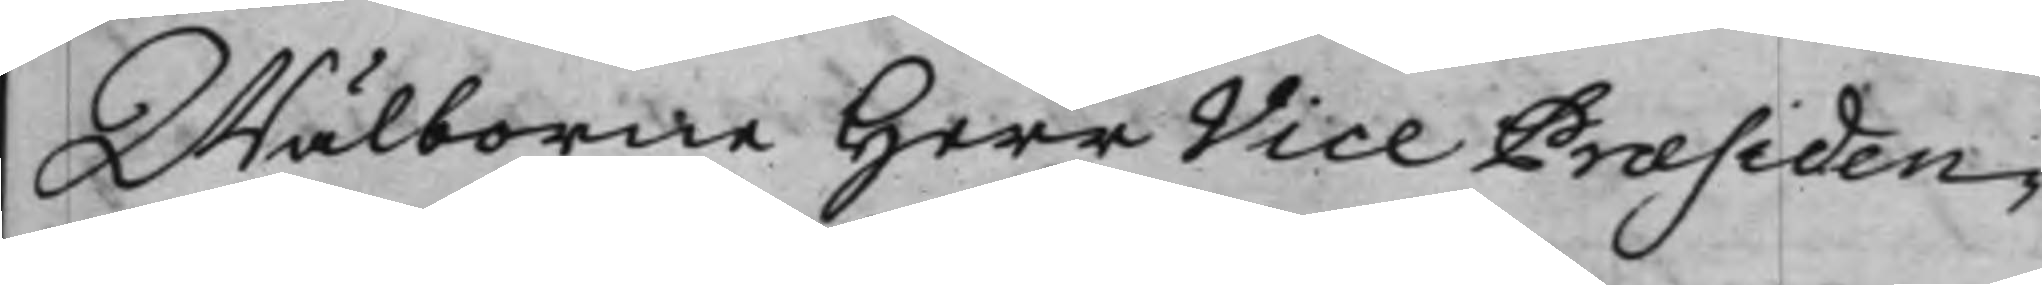Wälborne Herr Vice Præsiden¬
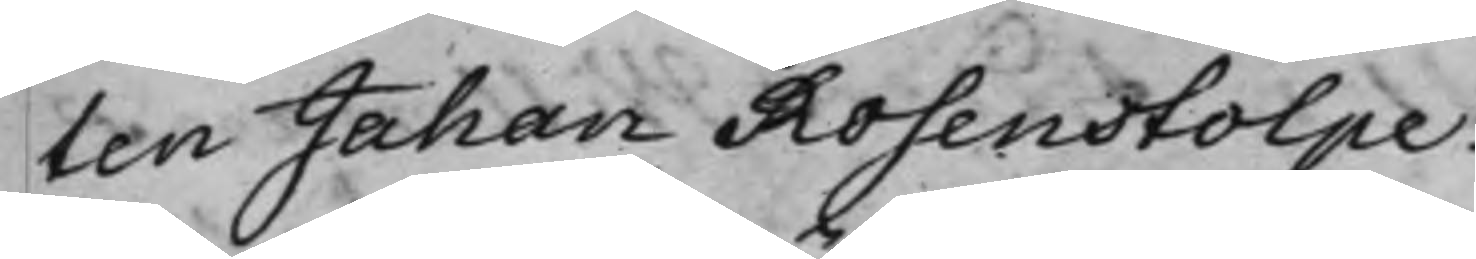ten Johan Rosenstolpe.
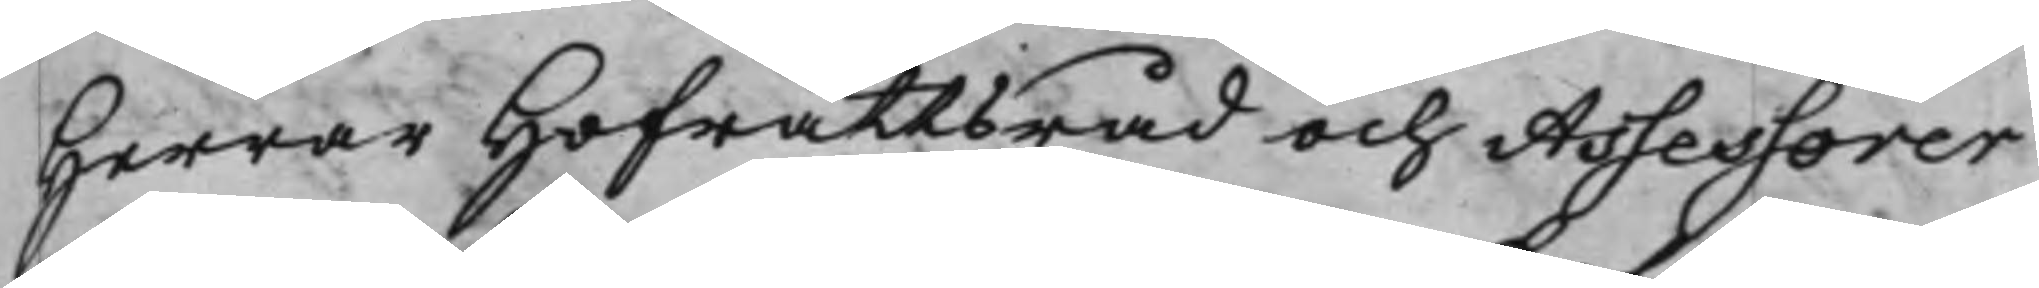Herrar Hofrättsråd och Assessorer
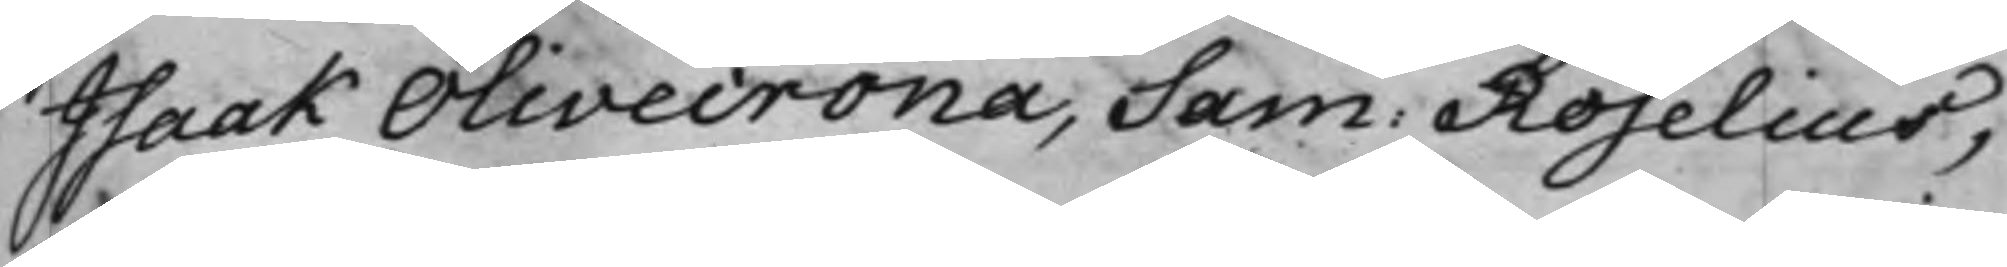Isaak Olivecrona, Sam: Roselius,
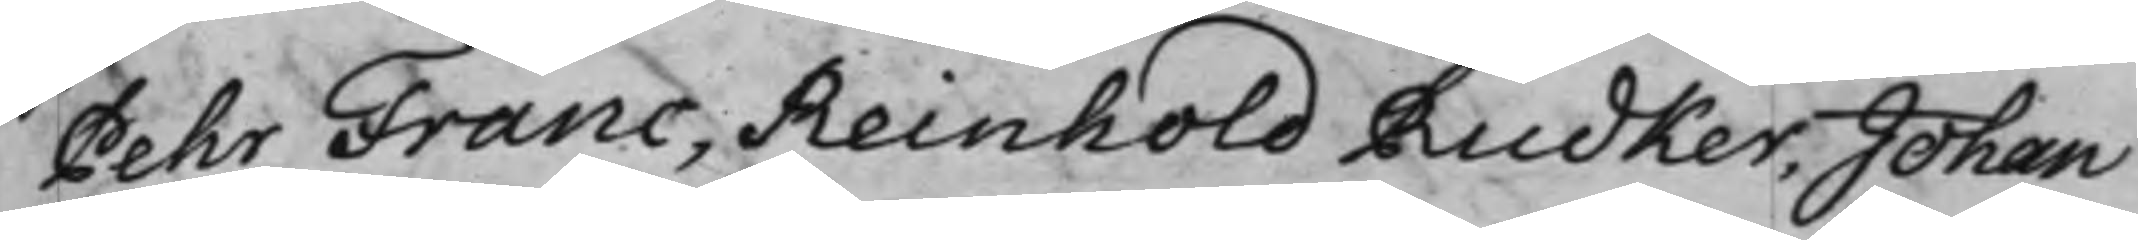Pehr Franc, Reinhold Rudker, Johan
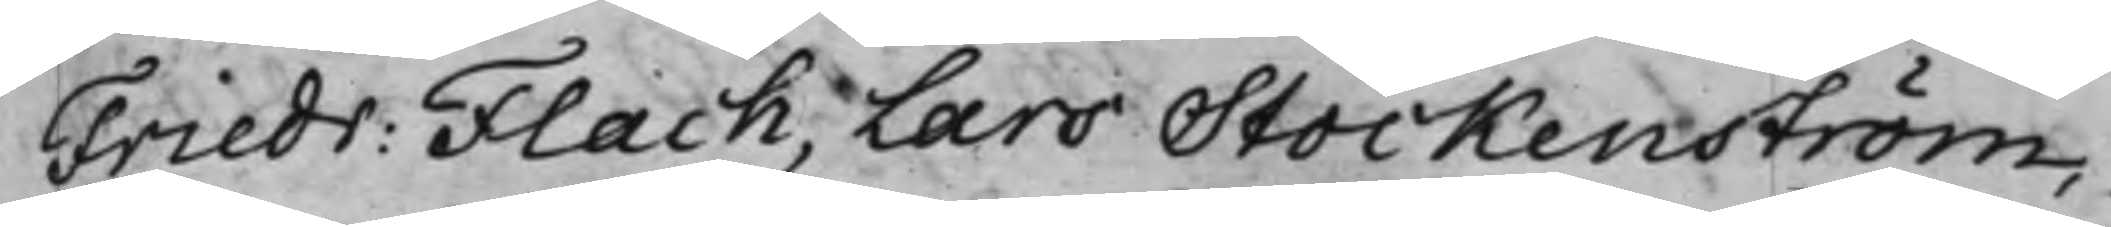Friedr: Flach, Lars Stockenström,
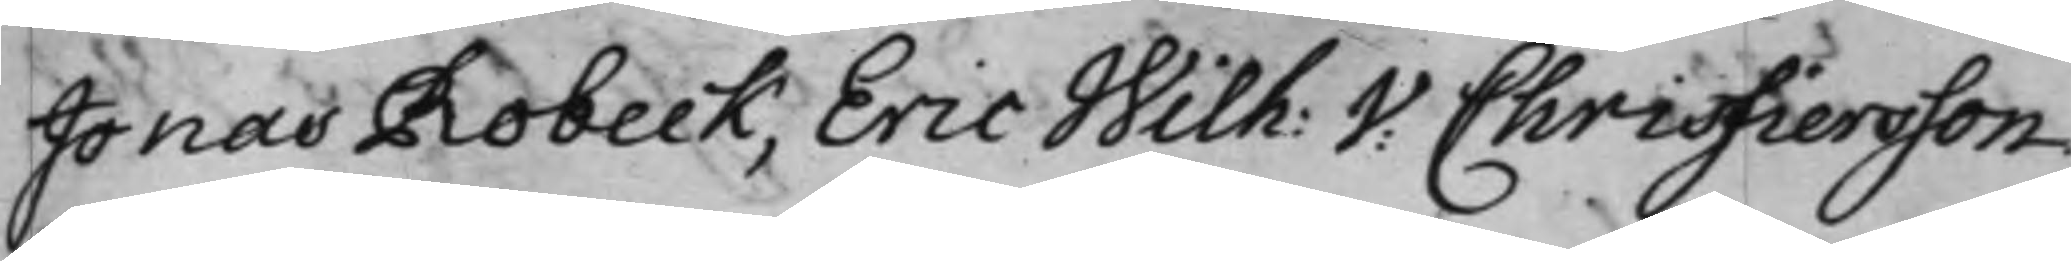Jonas Robeck, Eric Wilh: V: Christiersson
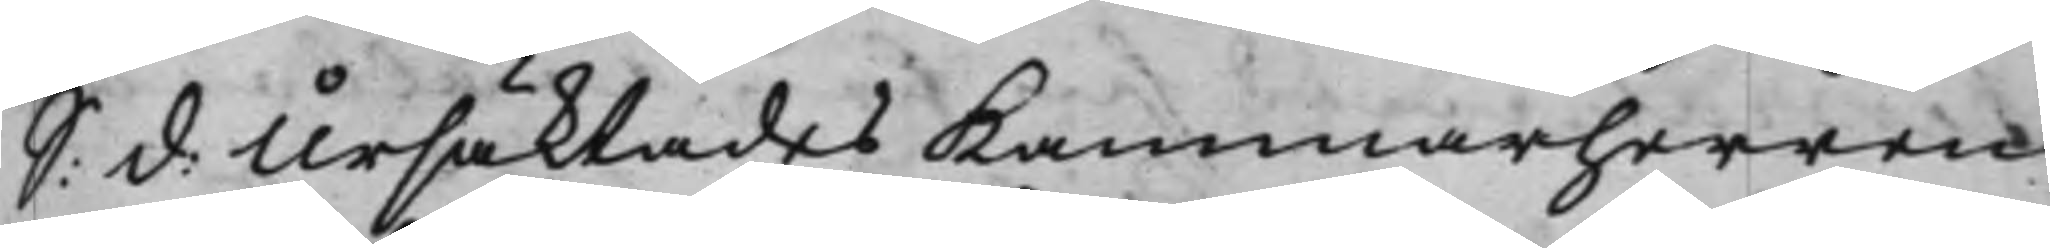S: d: Ursäktades Kammarherren
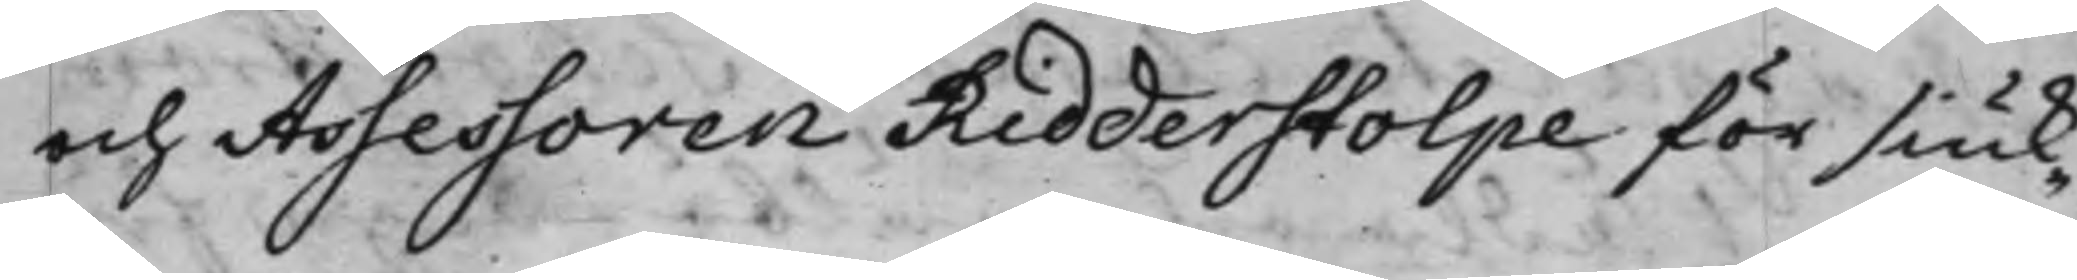och Assessoren Ridderstolpe för siuk¬
